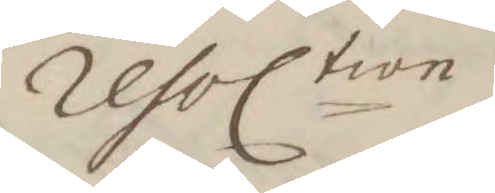resoltion
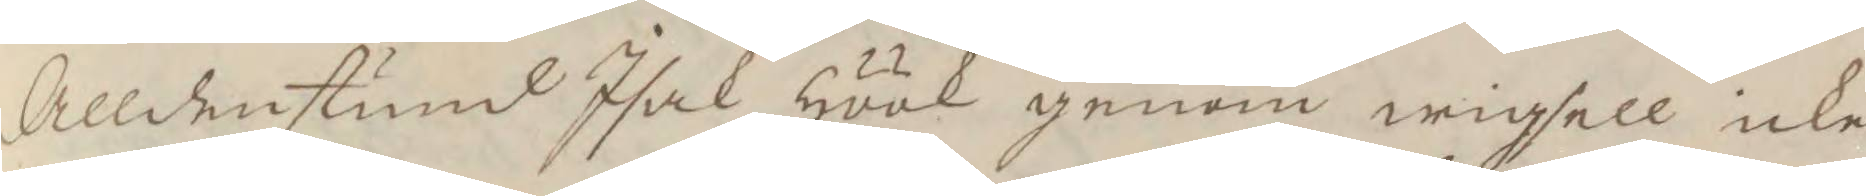Alldenstud Isak Höök genom wigsell ick
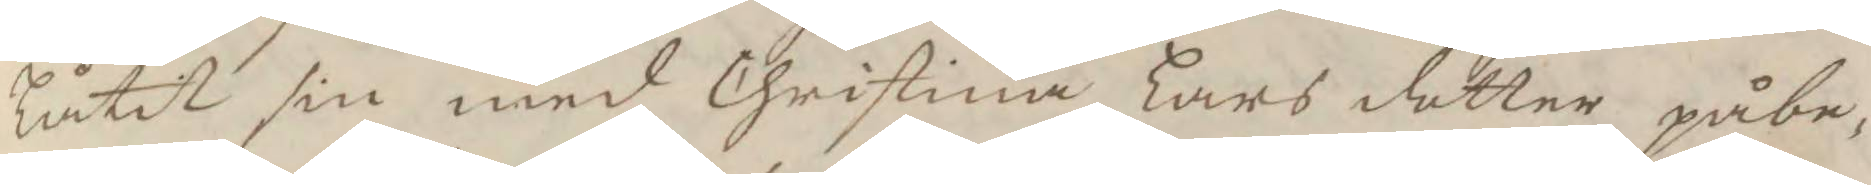låtit sin med Christina Lars dotter påbe¬
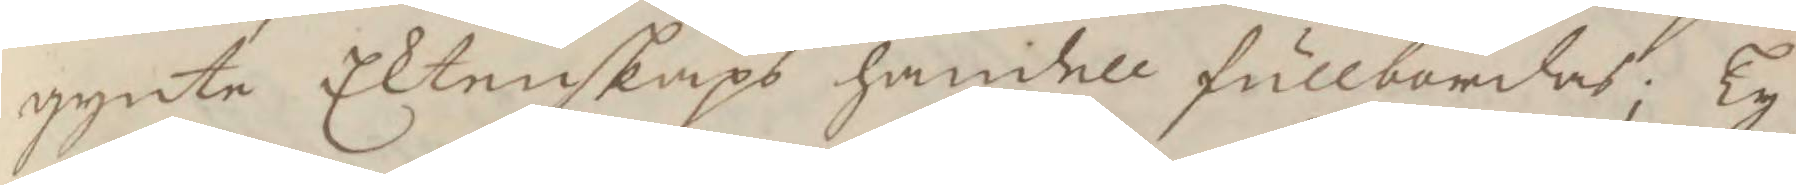gynte Ektenskaps handell fullbordas; Ty
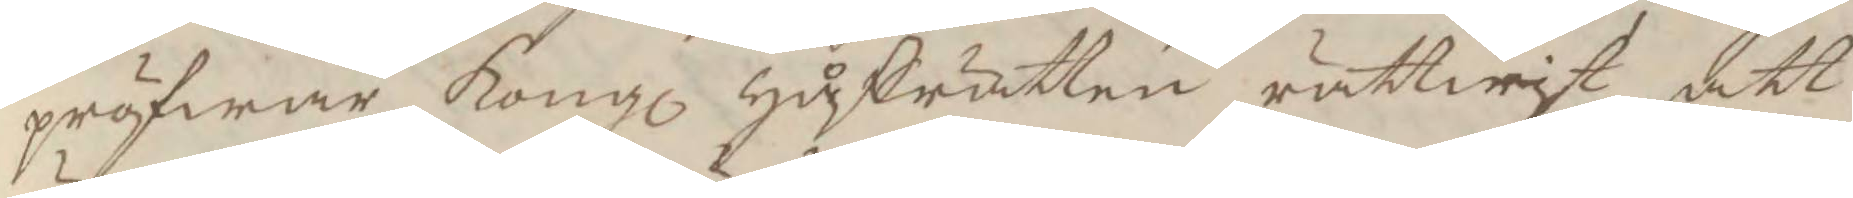pröfwar Kongl Håffrätten rättwist att
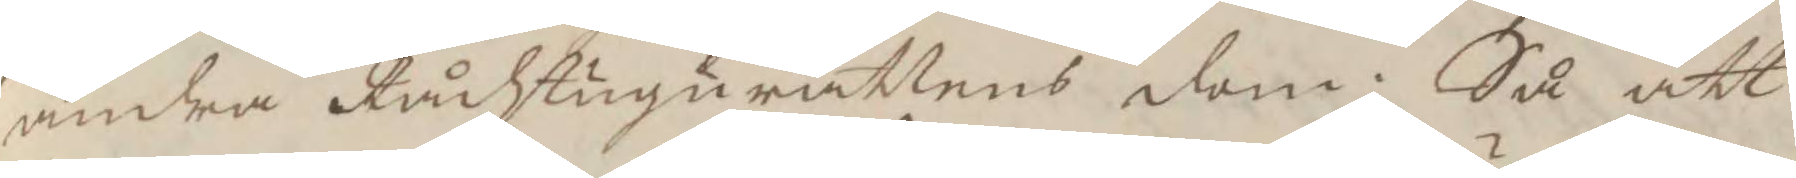ändra Rådstugurättens dom; Så att
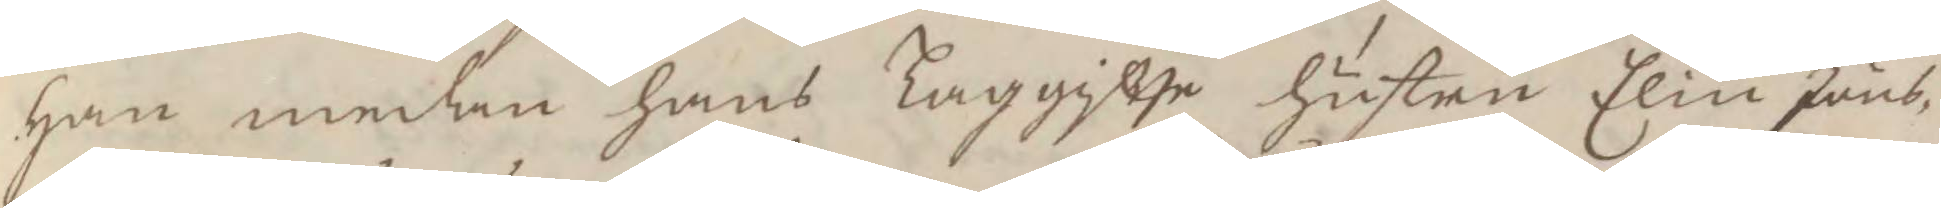han medan hans Laggifte hustru Elin Jöns¬
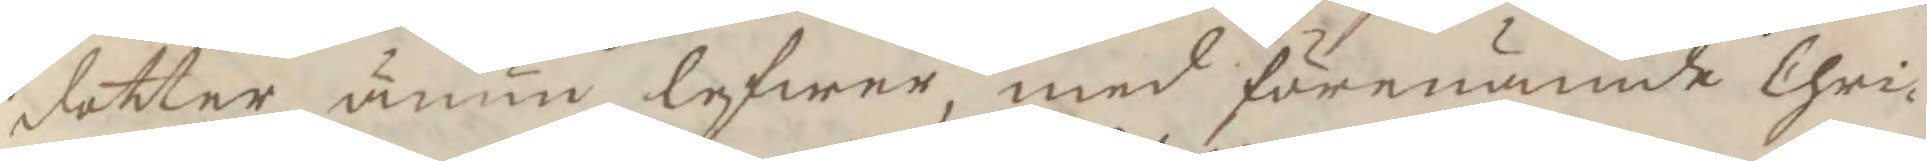dotter ännu lefwer, med förenämde Chri¬
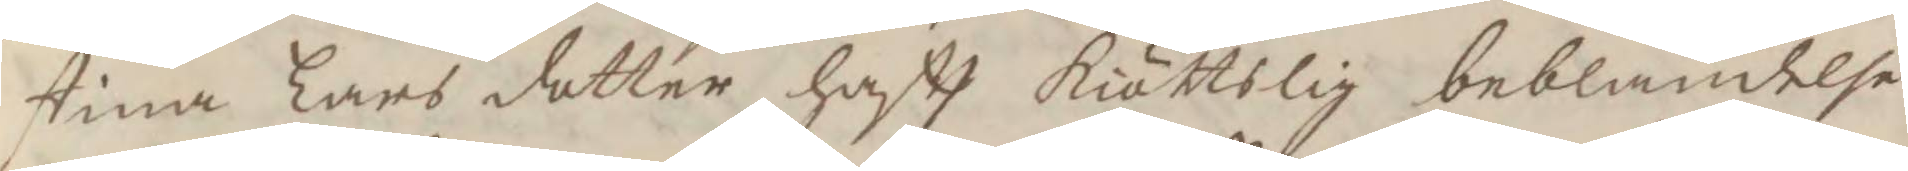stina Lars dotter haftt kiöttskif beblandelse
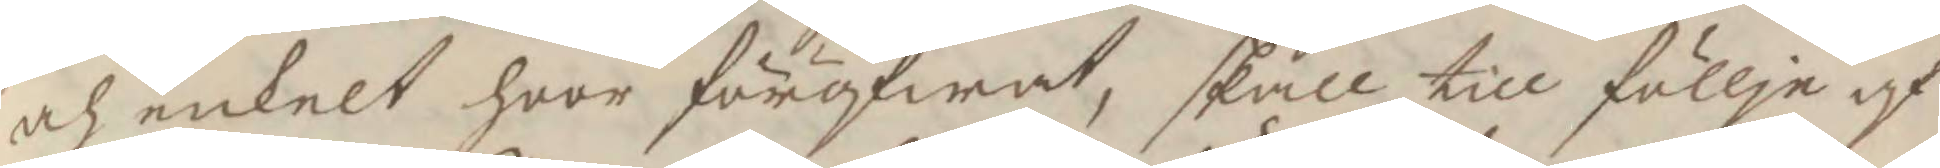och enkelt hoor föröfwat, skall till föllje af
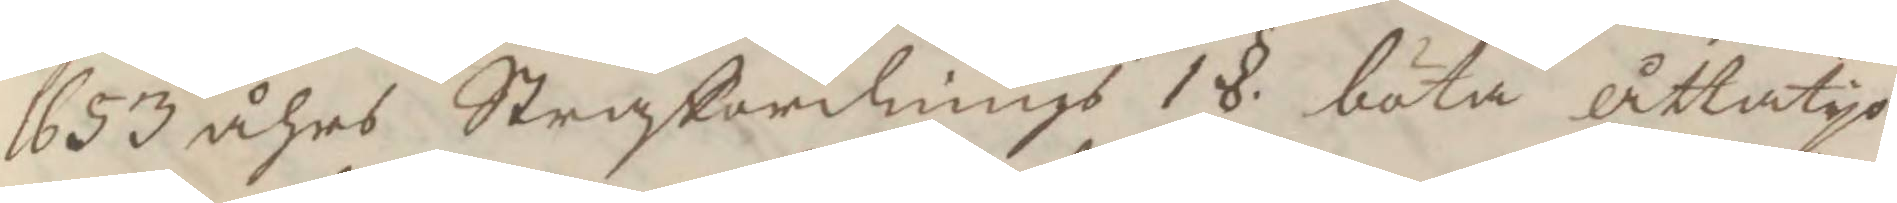1653 åhrs Straffordninghs 1§ böta åttatyo
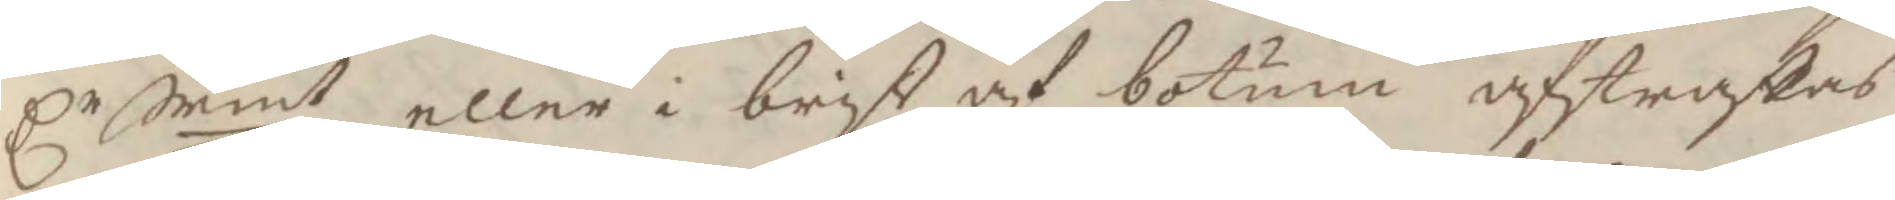Cr Srmt, eller i brist af botum afstraffas
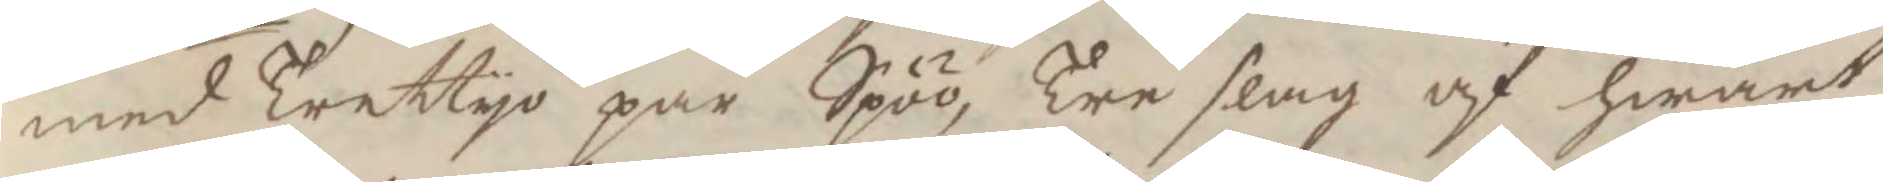med Trettyo par Spöö, Tre slag af hwart
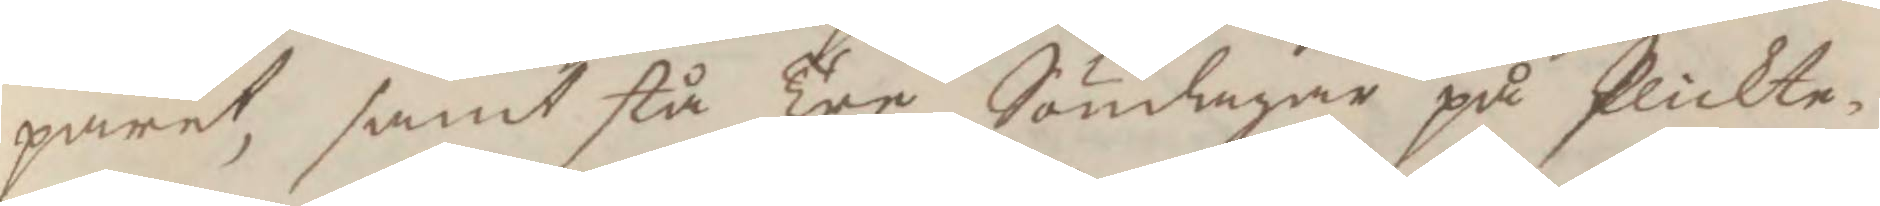paret, samt stå Tre Söndagar på Plickte¬
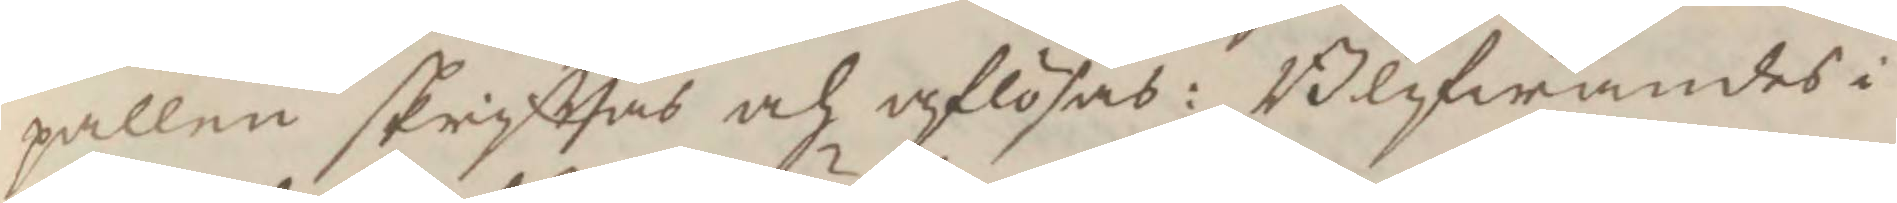pallen skrifttas och aflösas: Blifwandes i
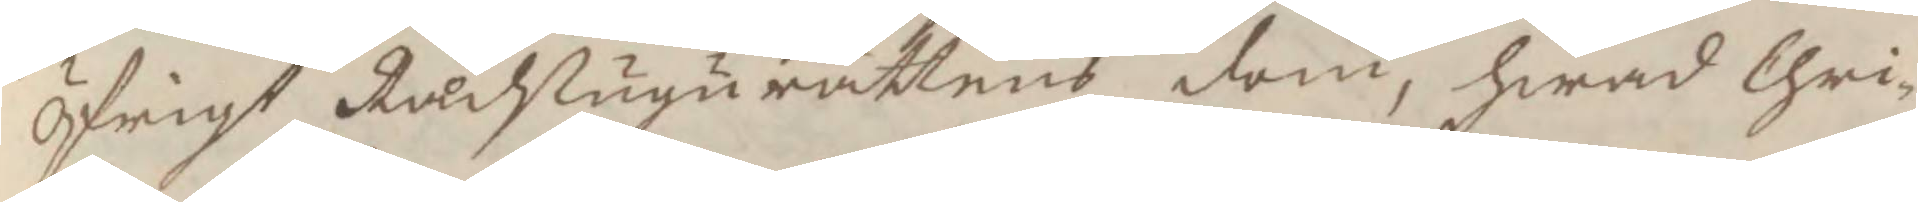öfrigt Rådstugurättens dom, hwad Chri¬
